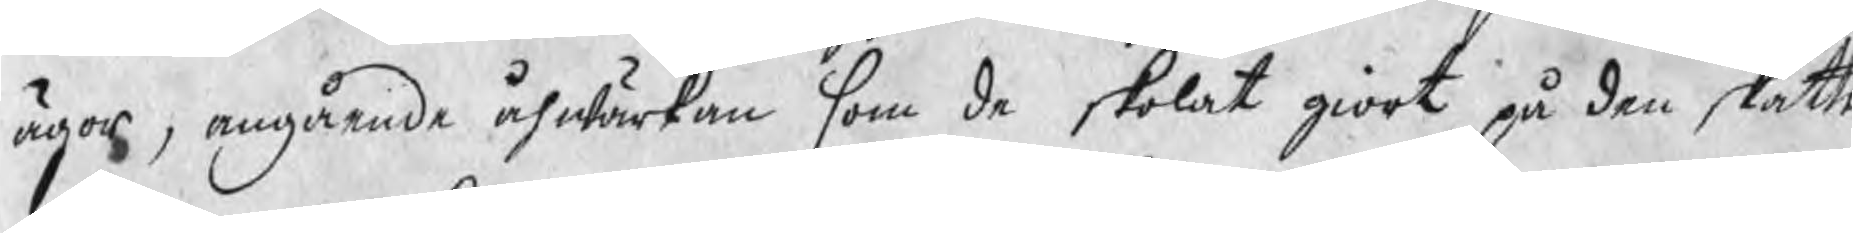ägor, angående åhwärkan som de skolat giort på den skatte
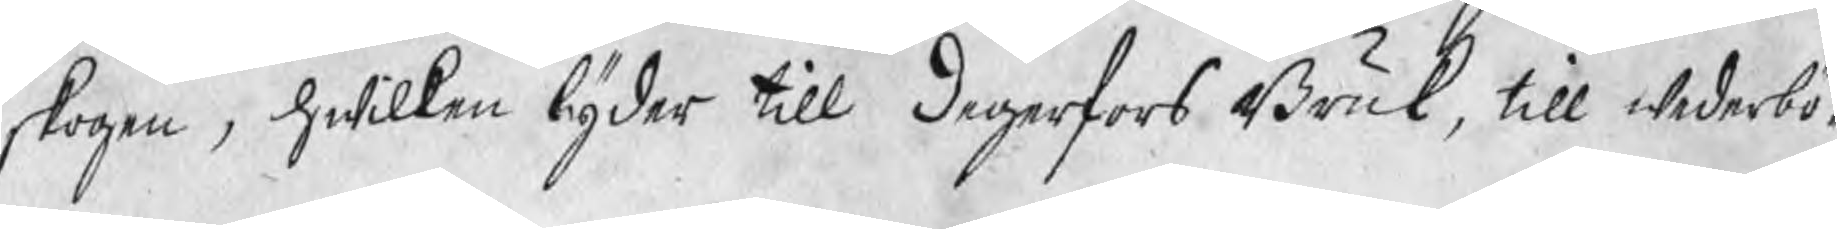skogen, hwilken lyder till Degerfors Bruk, till wederbö¬
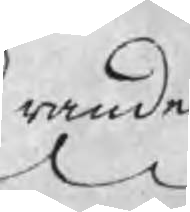rande
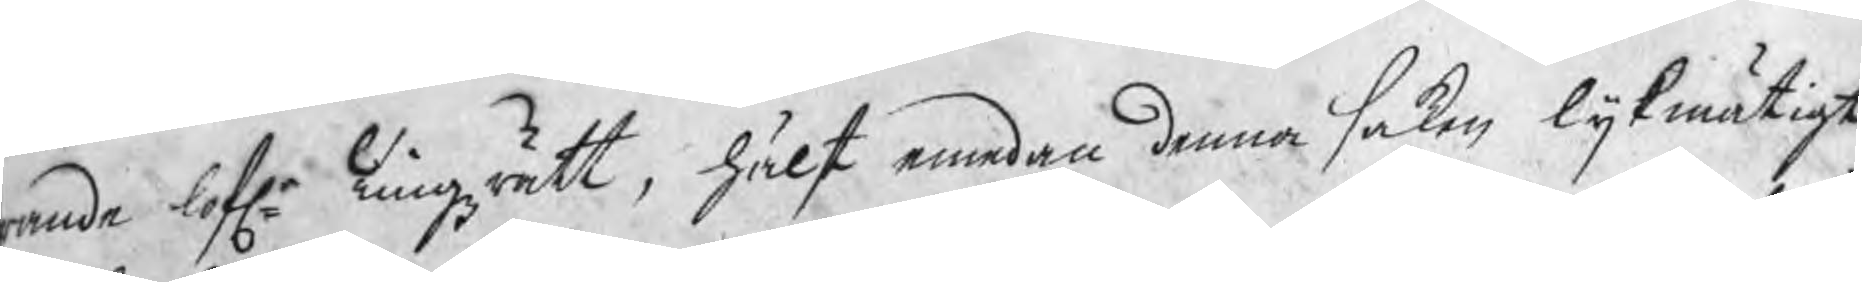rande lofle Tingzrätt, hälst emedan denna saken lijkmätigt
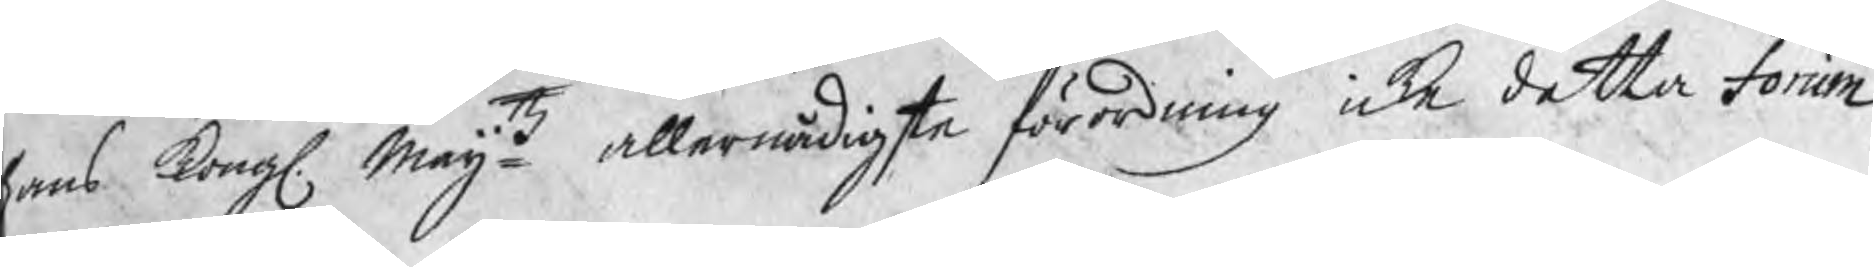ans Kongl. Maijtz allernådigste förordning icke detta Forum
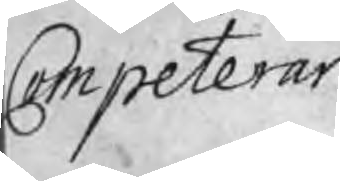Competerar.
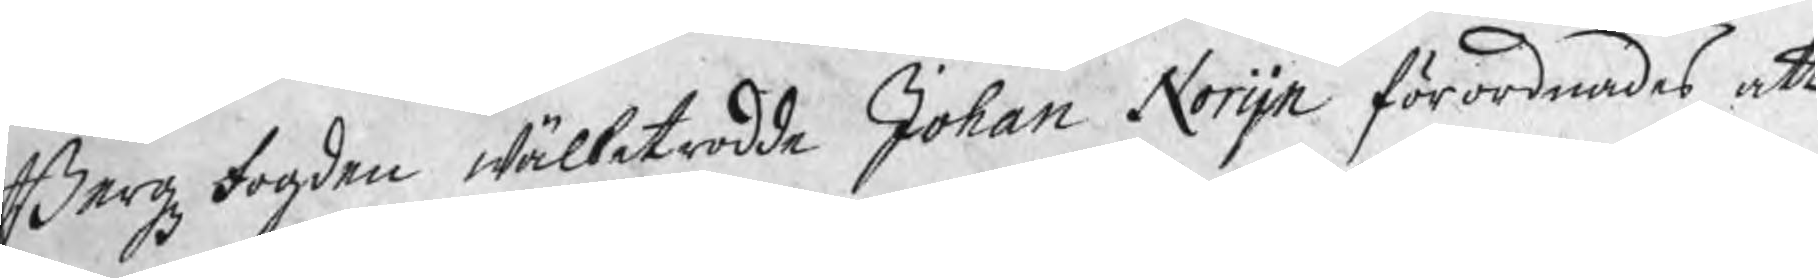BergzFogden wälbetrodde Johan Norijn förordnades att
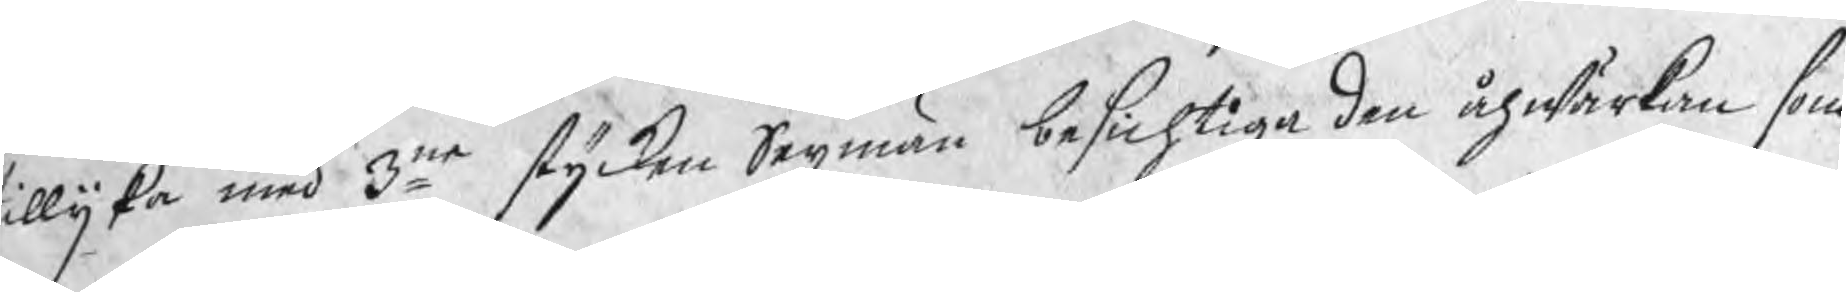illijka med 3ne stycken Sexmän besichtiga den åhwärkan som
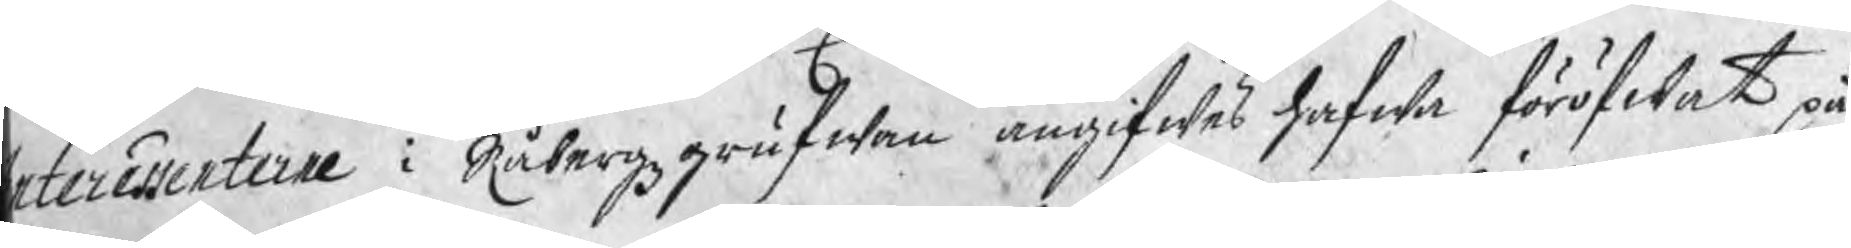nteressenterne i Råbergzgrufwan angifwes hafwa föröfwat på
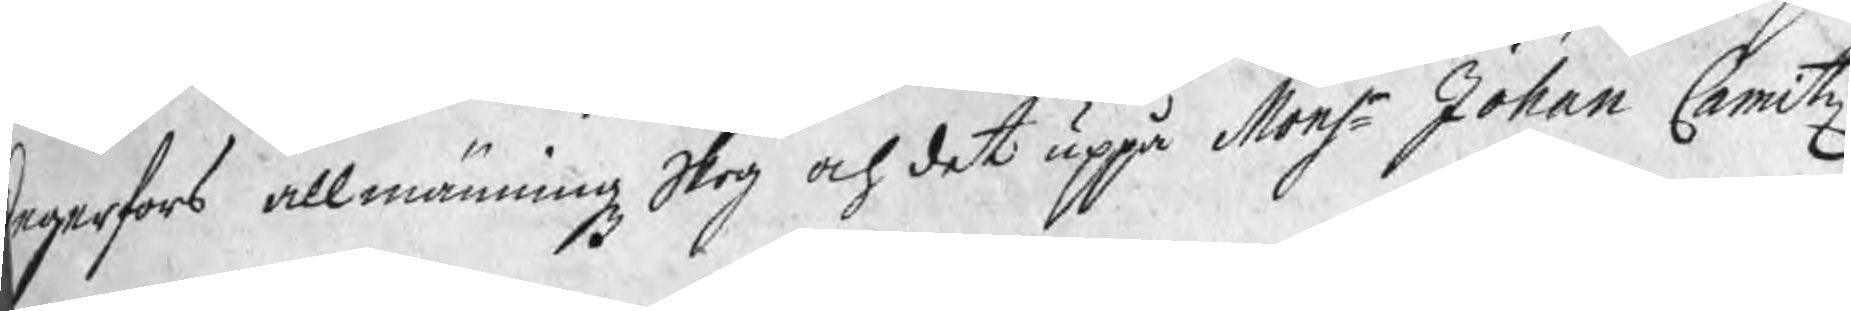egerfors allmänningz Skog och det uppå Monsr Johan Camitz
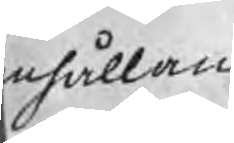nhållan
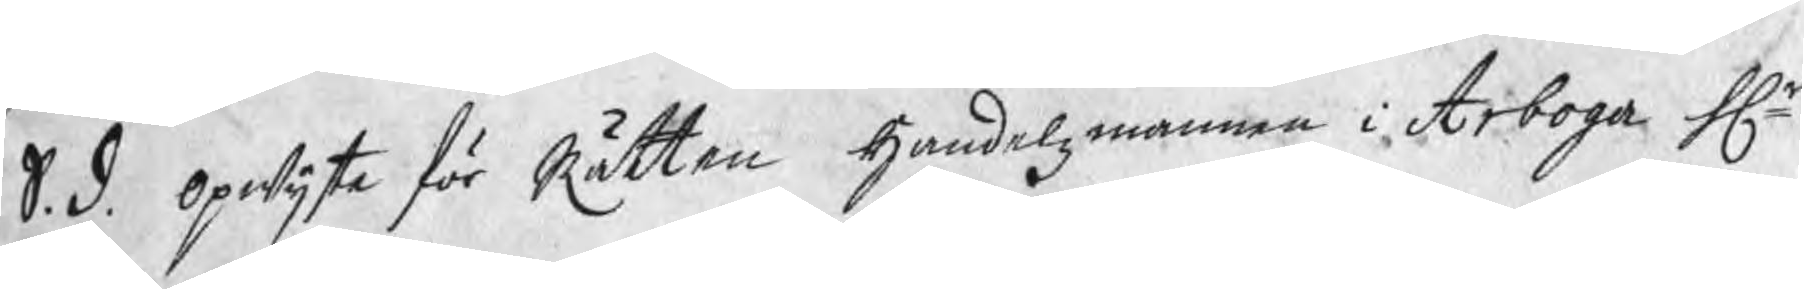S. D. opwijste för Rätten Handelsmannen i Arboga Hr
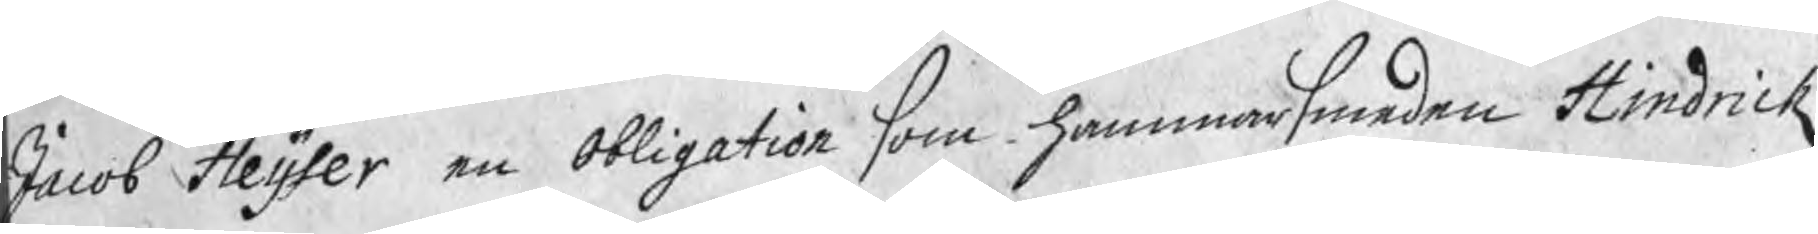Jacob Heijser en Obligation som hammarsmeden Hindrick
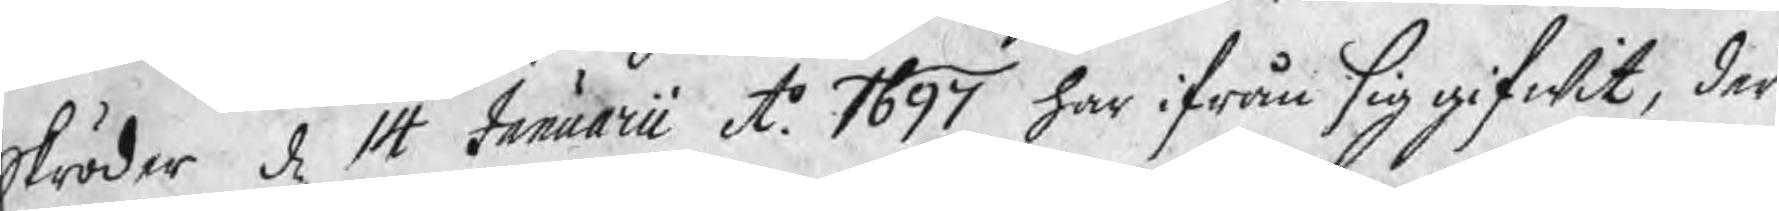Skröder d 14 Januarii Ao 1697 har ifrån sig gifwit, der
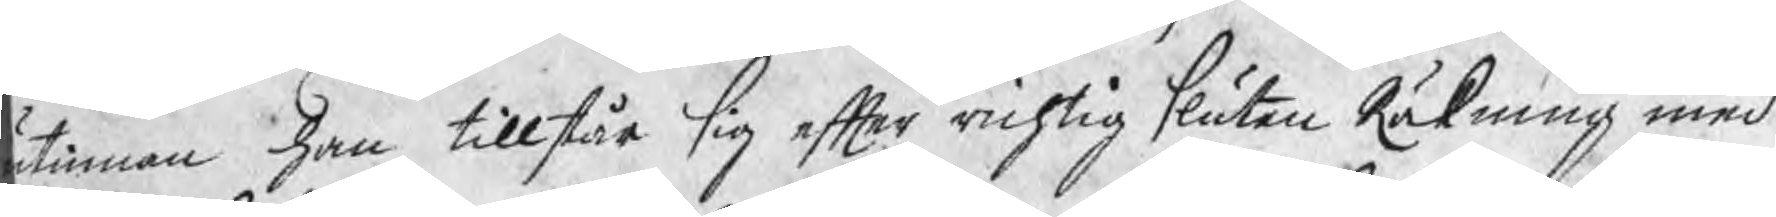tinnan han tillstår sig efter richtig sluten Räkning med
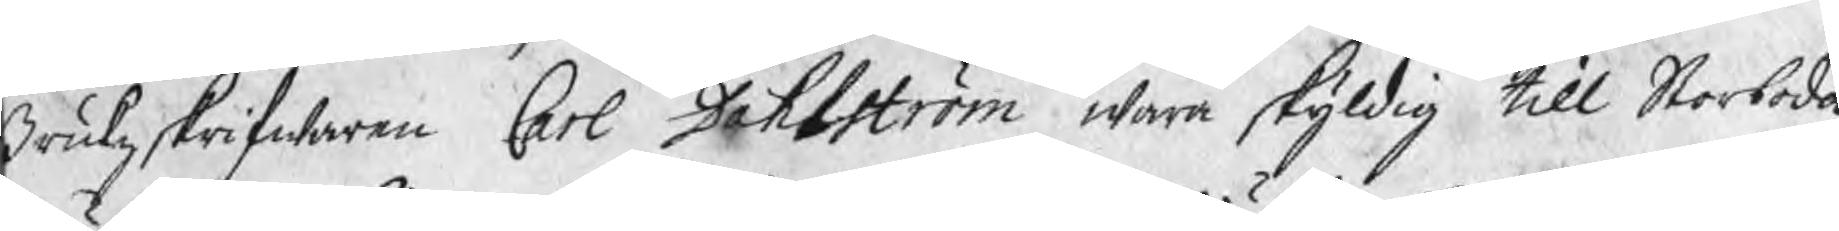Brukzskrifwaren Carl Dahlström wara skyldig Sex Dr 1 öre
